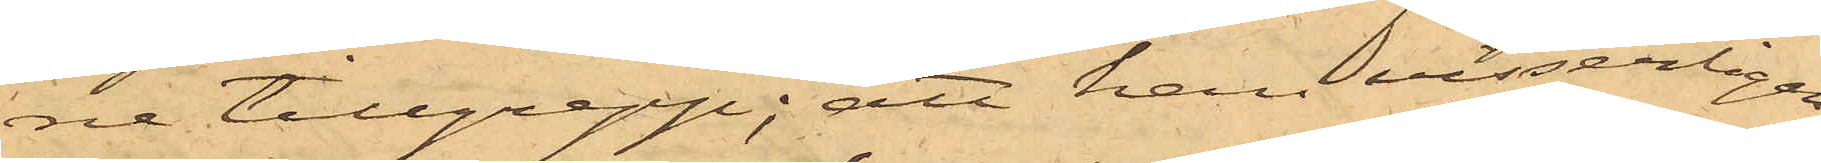ne tillgrepp; att han visserligen
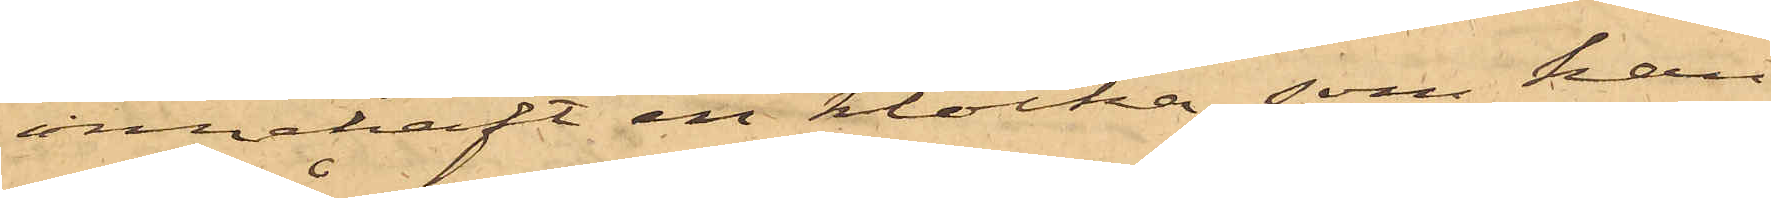innehaft en klocka, som han
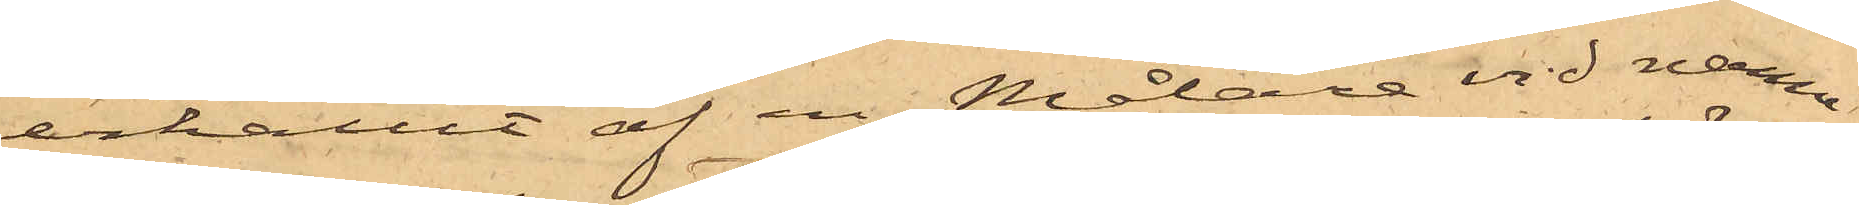erhållit af en Målare vid namn
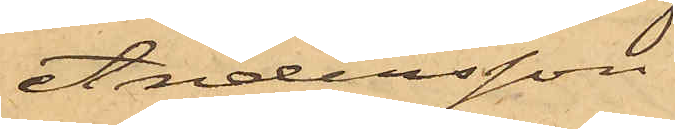Andersson
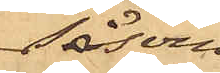såsom
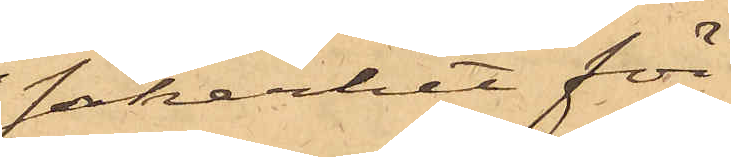säkerhet för
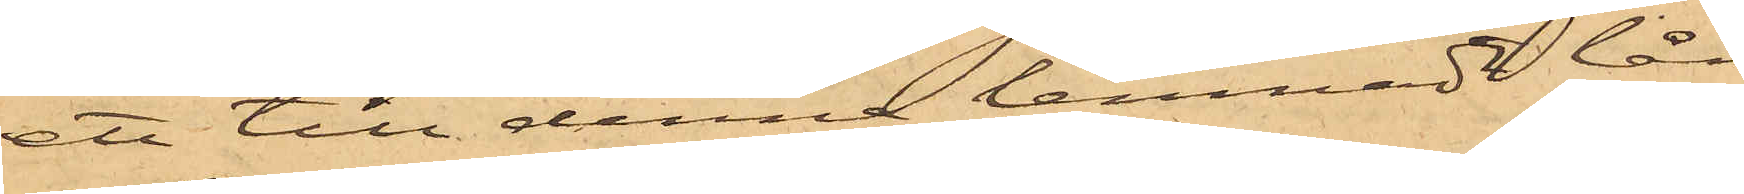ett till denna lemnadt lån
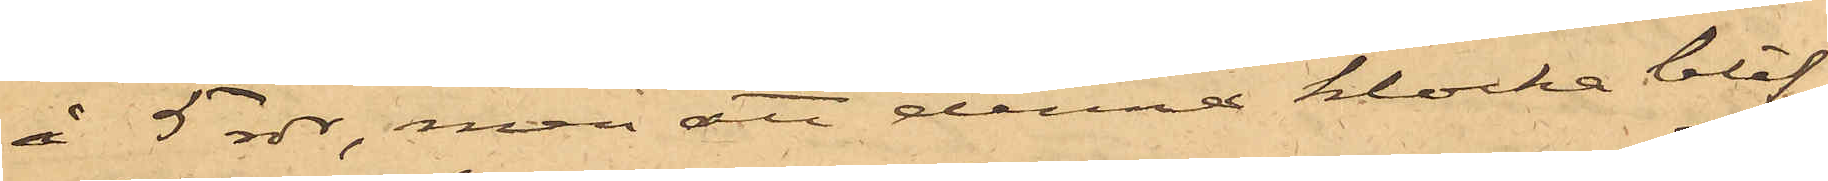å 5 rdr, men att denna klocka blif¬
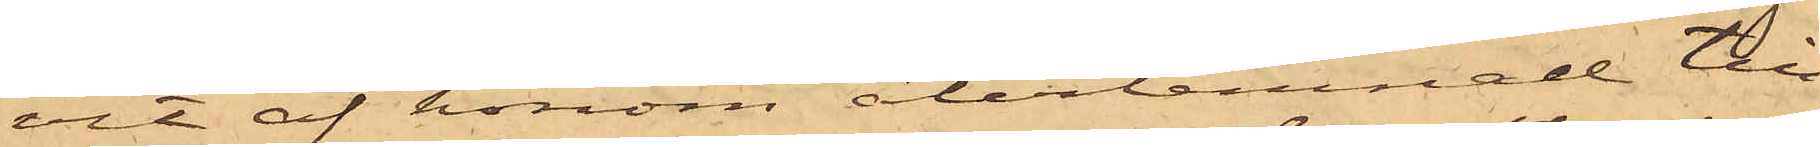vit af honom återlemnad till
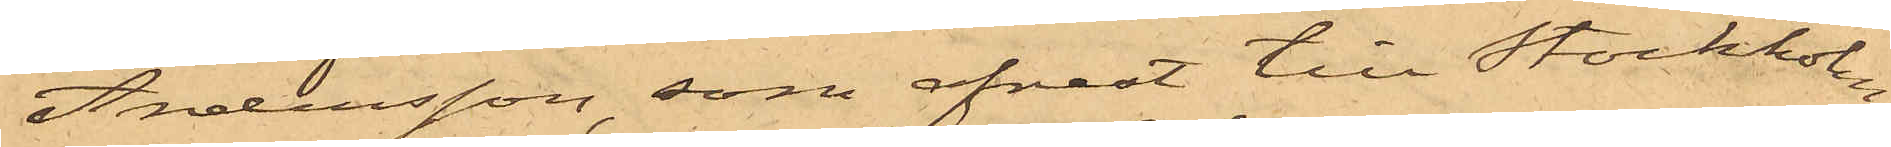Andersson, som afrest till Stockholm;
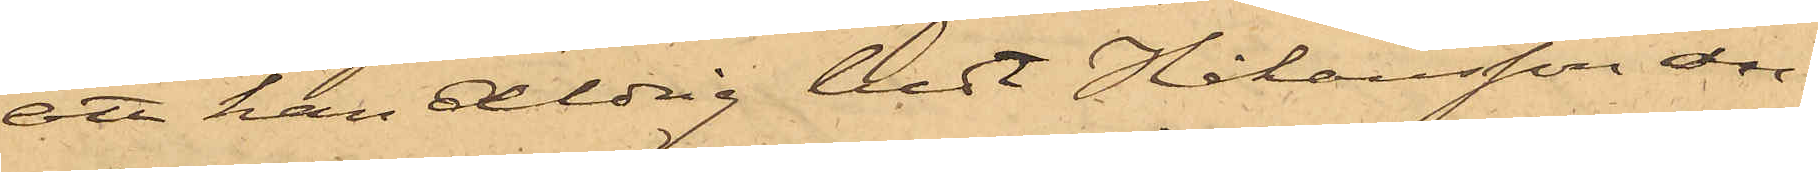att han aldrig bedt Håkansson an¬
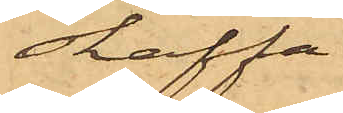skaffa
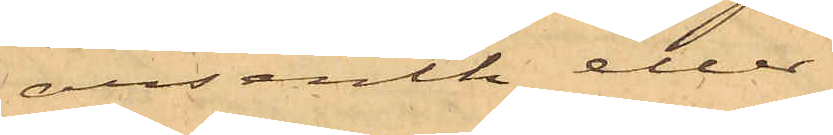arsenik eller
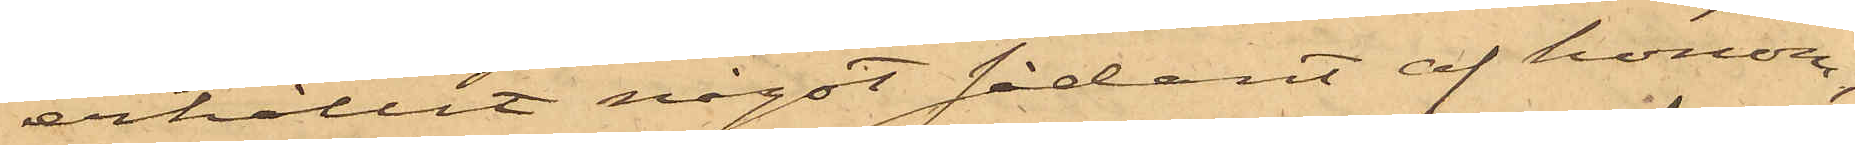erhållit något sådant af honom;
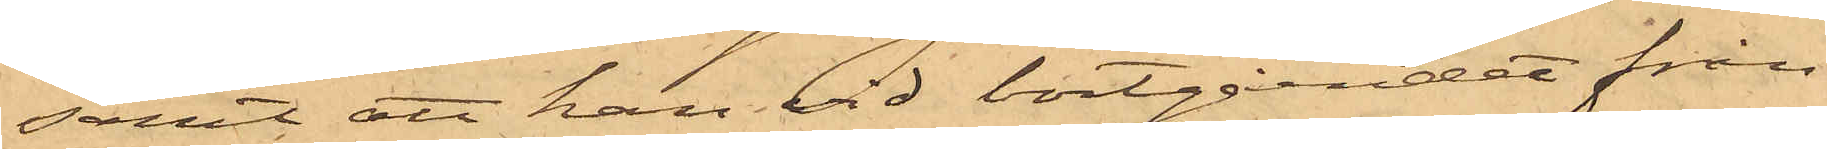samt att han vid bortgåendet från
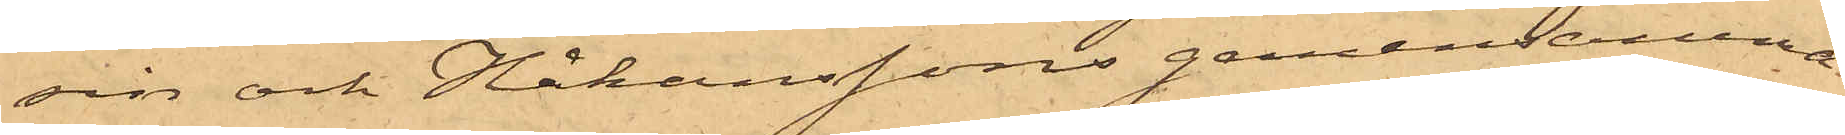sin och Håkanssons gemensamma
